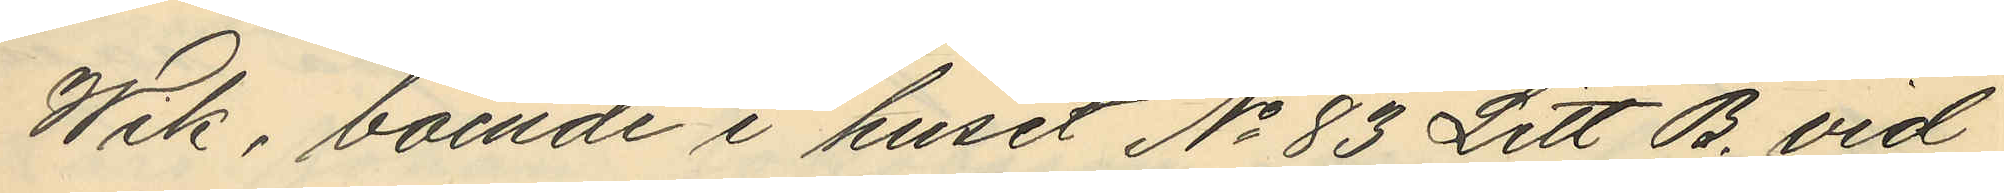Wik, boende i huset No 83 Litt B. vid
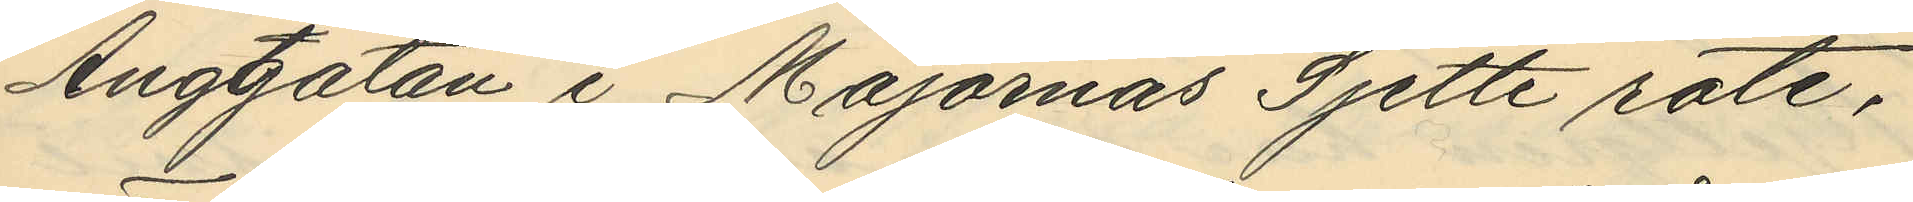Änggatatan i Majornas Sjette rote,
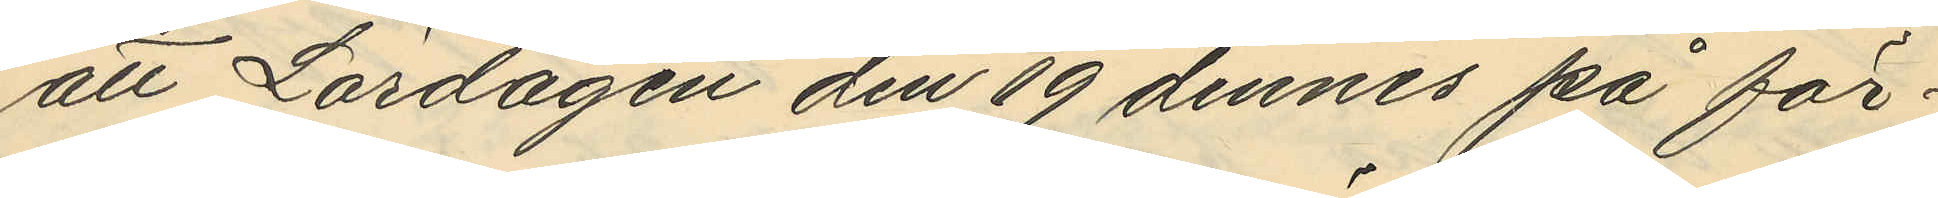att Lördagen den 19 dennes på för¬
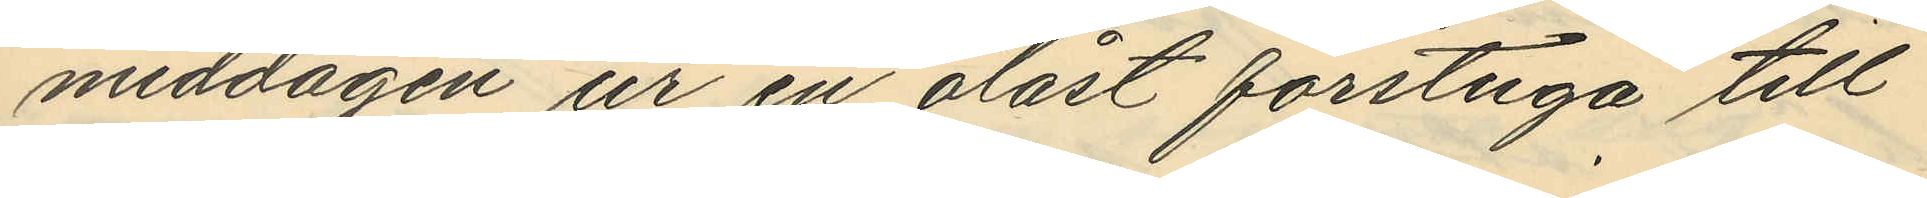middagen ur en olåst förstuga till
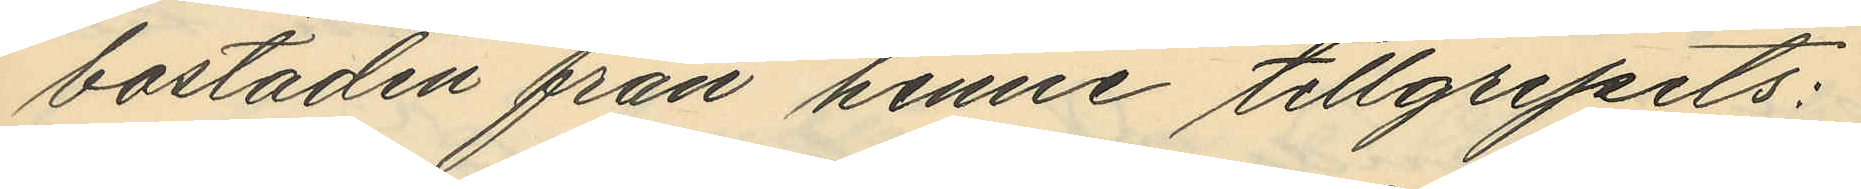bostaden från henne tillgripits:
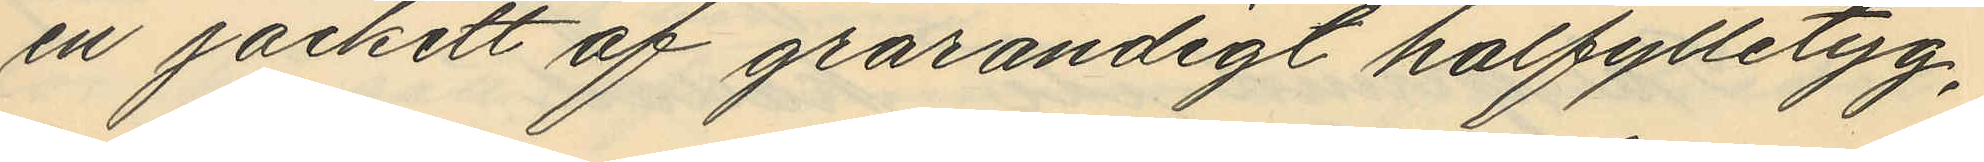en jackett af grårandigt halfylletyg,
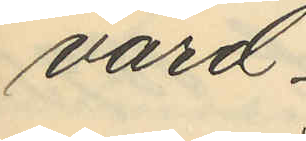värd
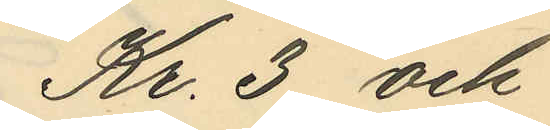Kr. 3 och
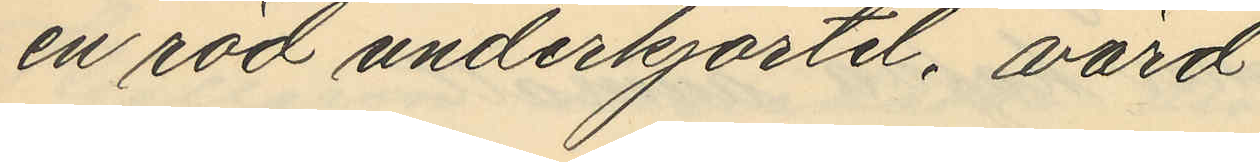en röd underkjortel, värd
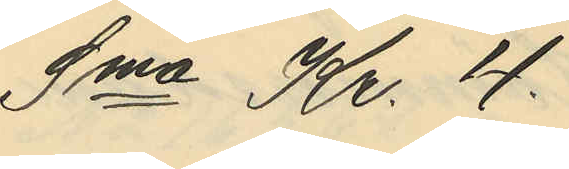Sma Kr. 4.
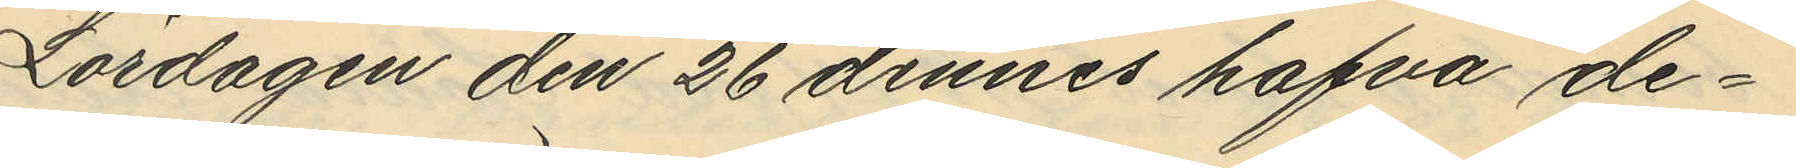Lördagen den 26 dennes hafva de¬
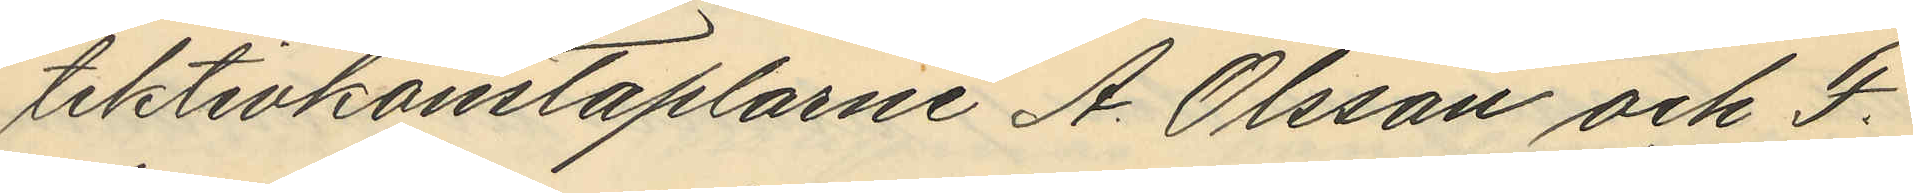tektivkonstaplarne A. Olsson och F.
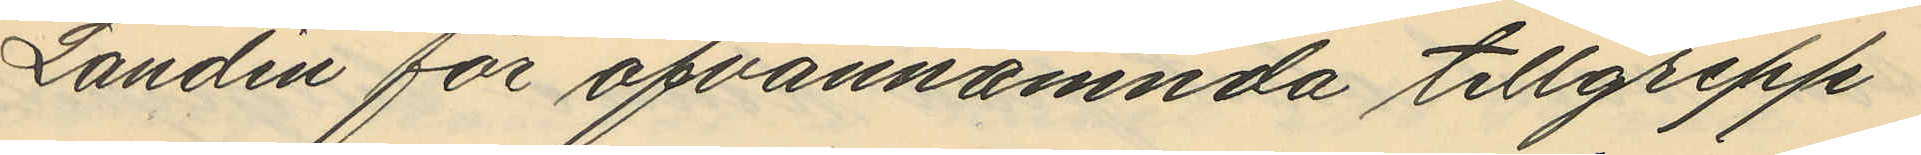Landin för ofvannämnda tillgrepp
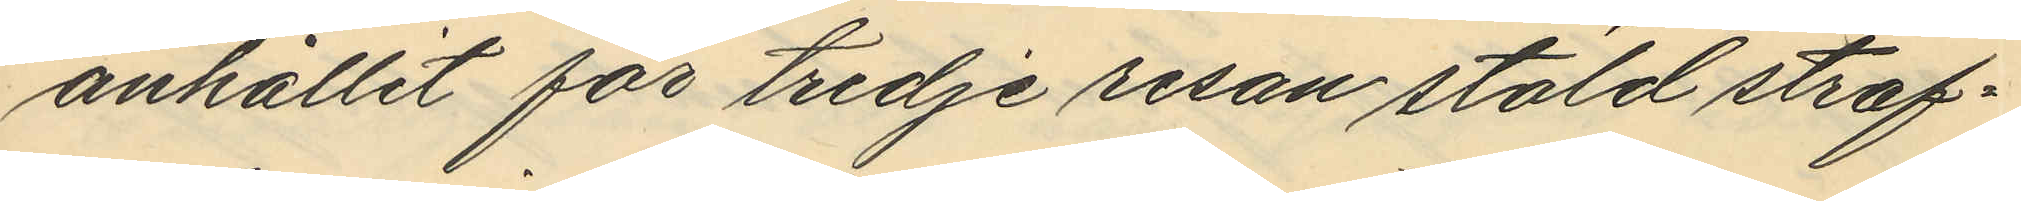anhållit för tredje resan stöld straf¬
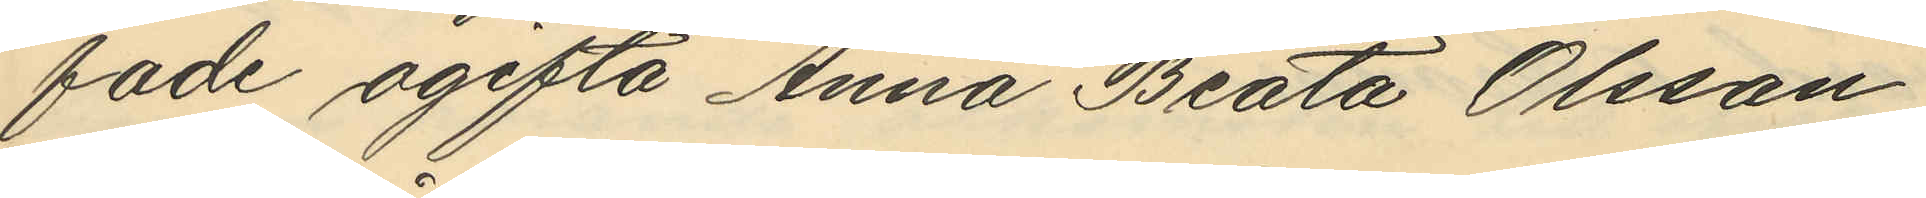fade ogifta Anna Beata Olsson
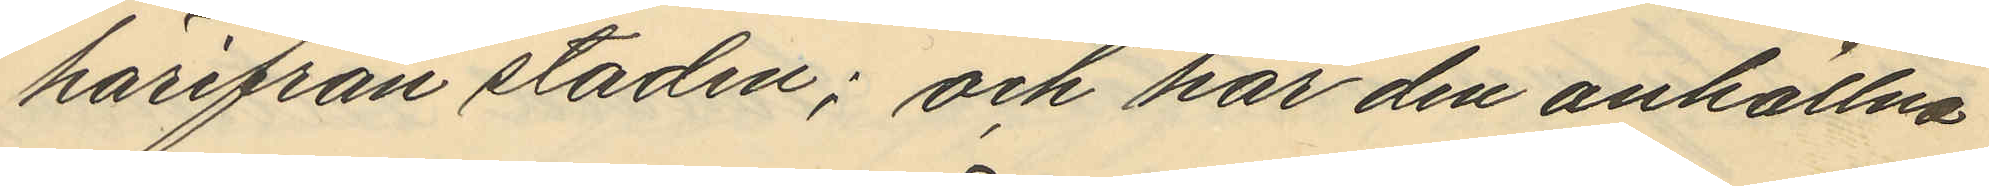härifrån staden; och har den anhållna
